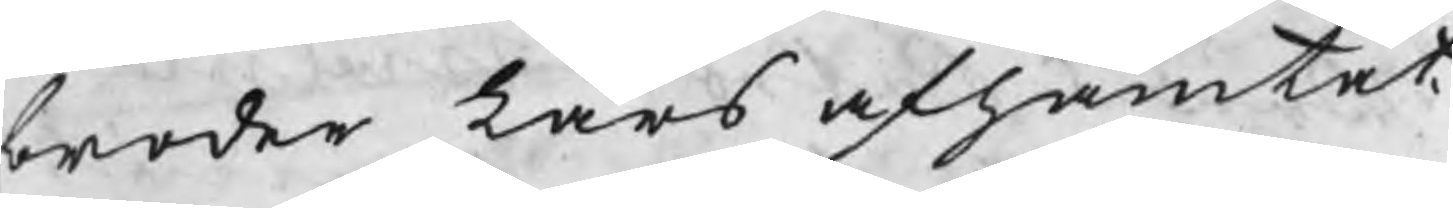broder Lars afhämtat
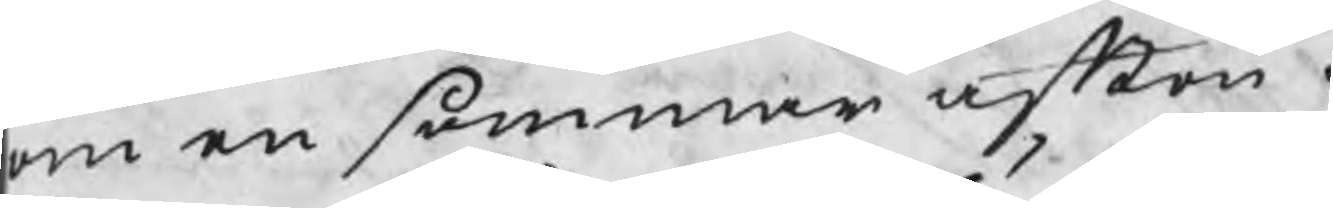om en sommar afton.
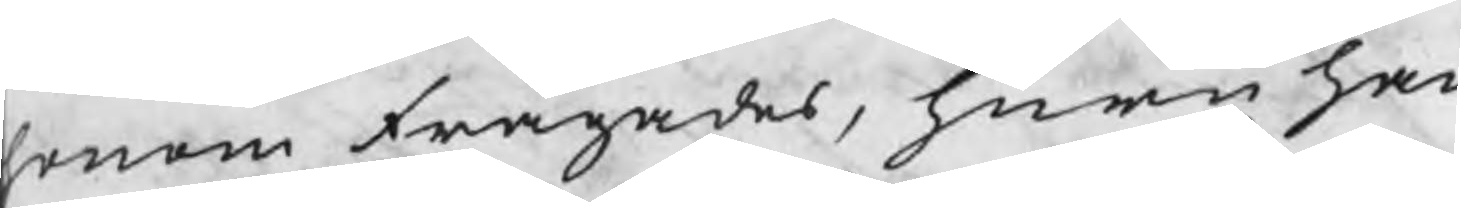honom frågades, huru han
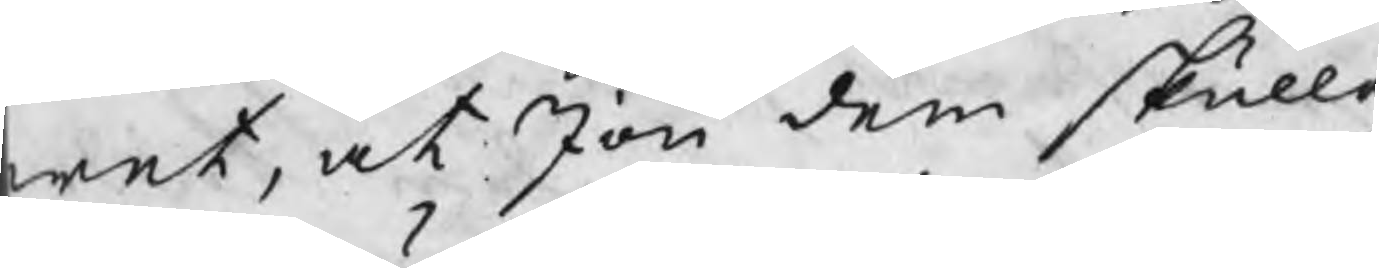wet, at Jon dem skulle 
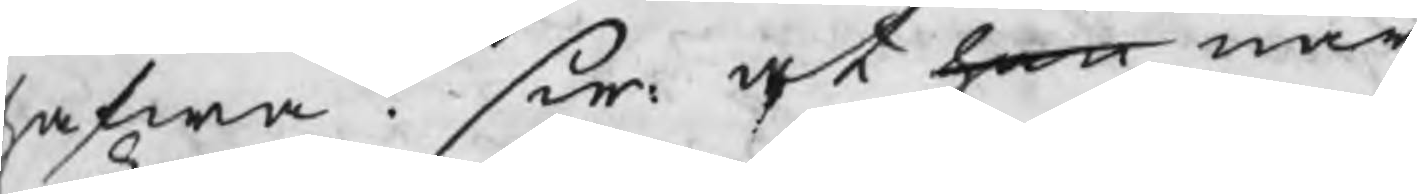hafwa? Sw: at han när
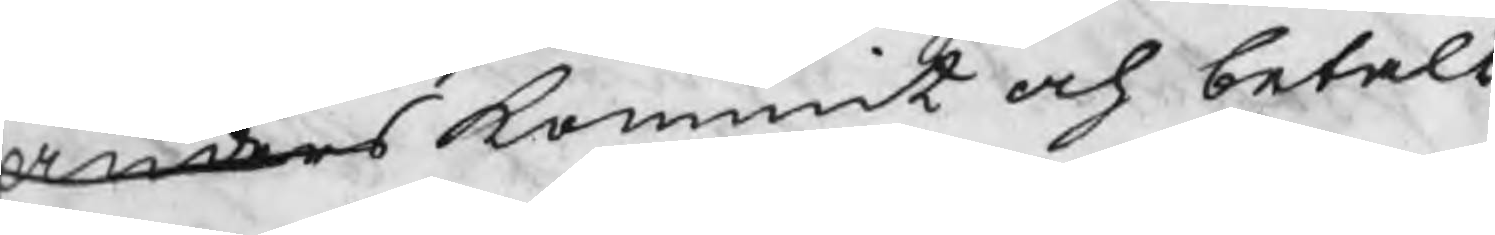Anders kommit och betalt
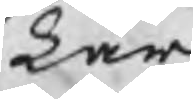Lars
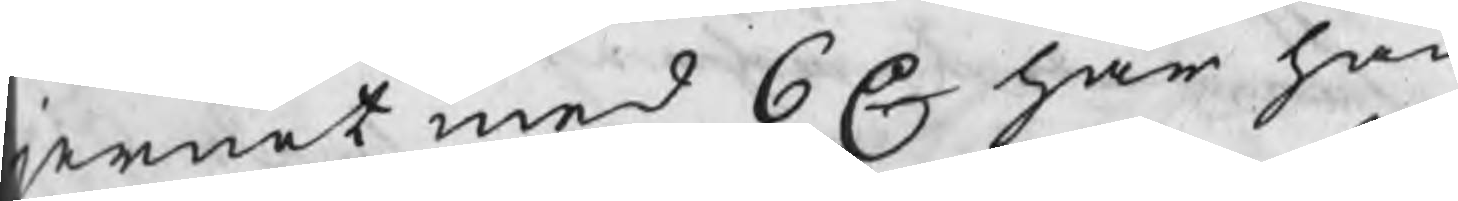jernet med 6 C har han
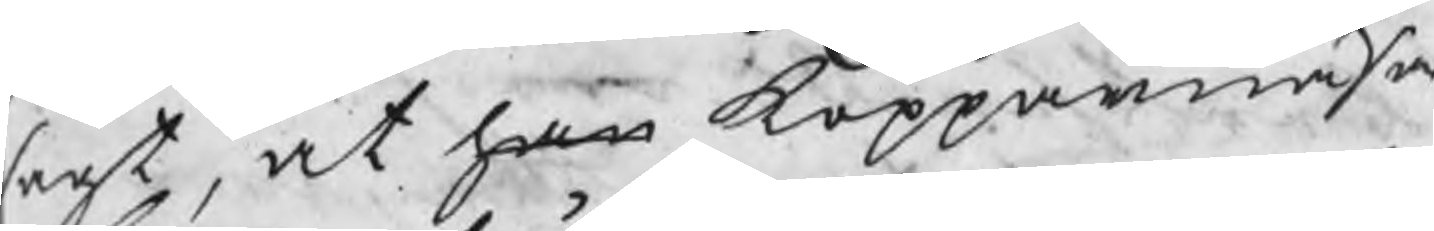sagt, at han Kopparnäsa
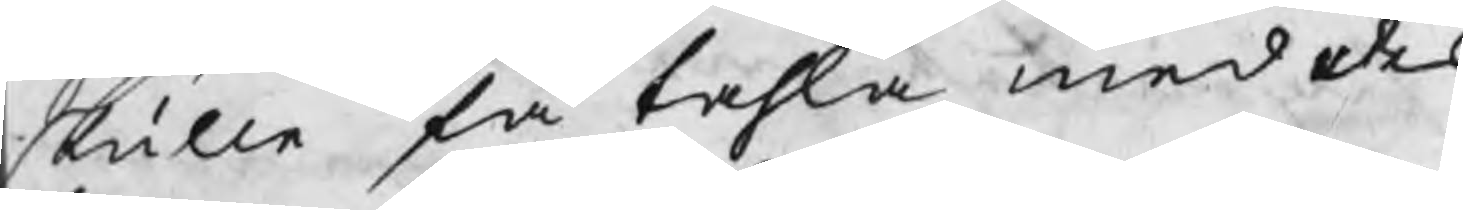skulle få tahla med des
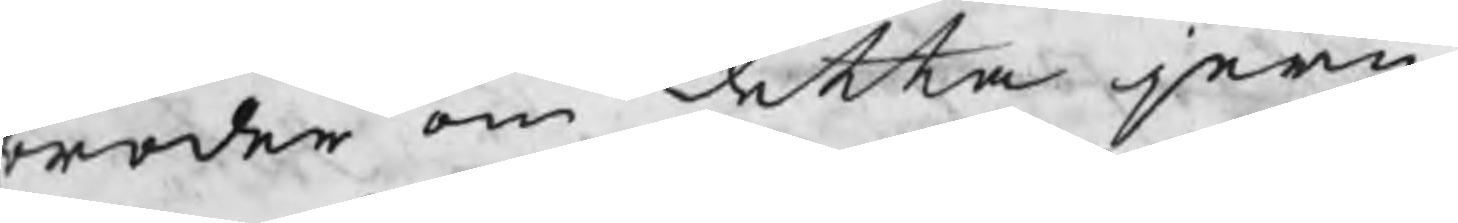broder om detta jern.
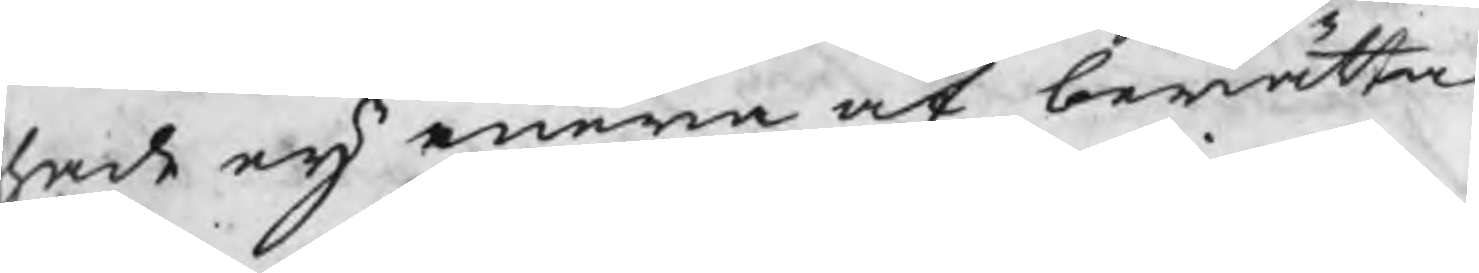hade eij mera at berätta
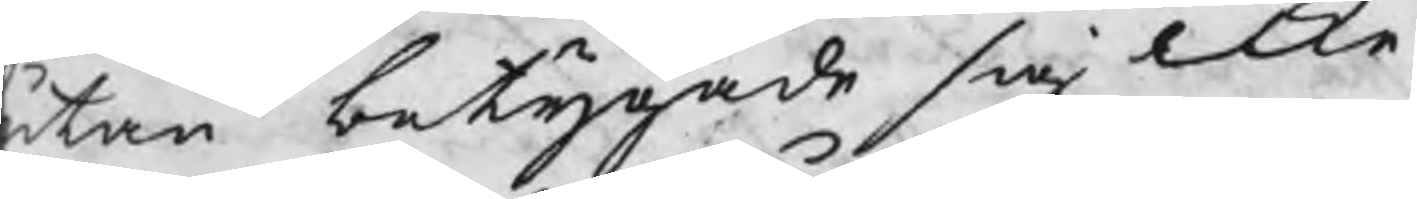utan betygade sig icke
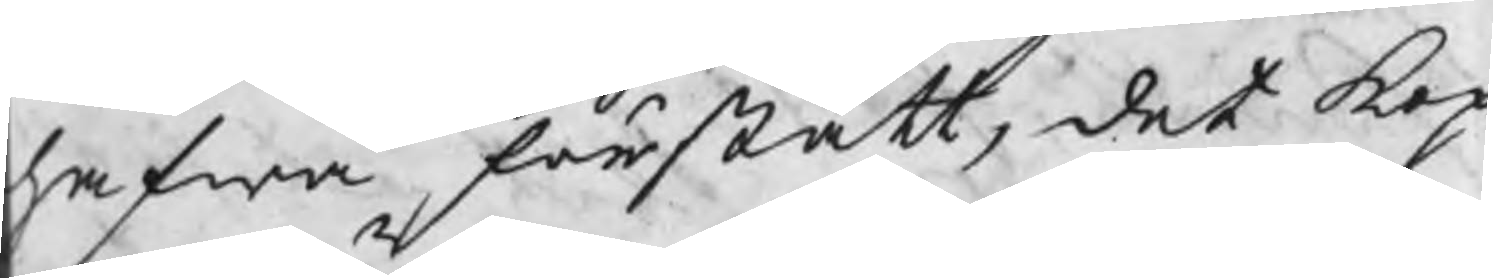hafwa förstått, det Kop¬
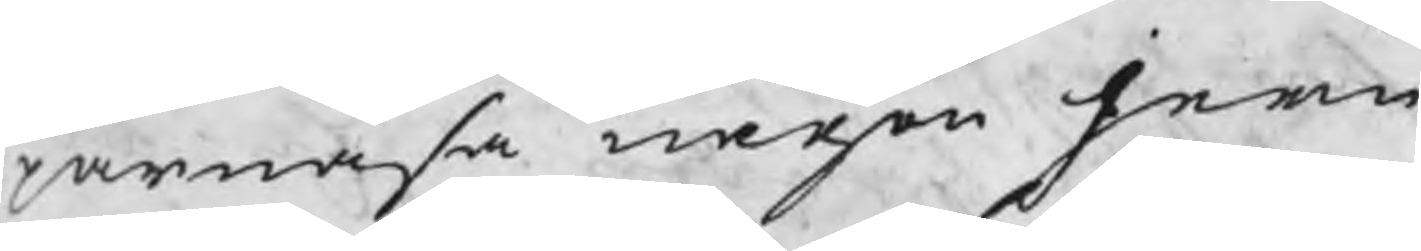parnäsa någon jern
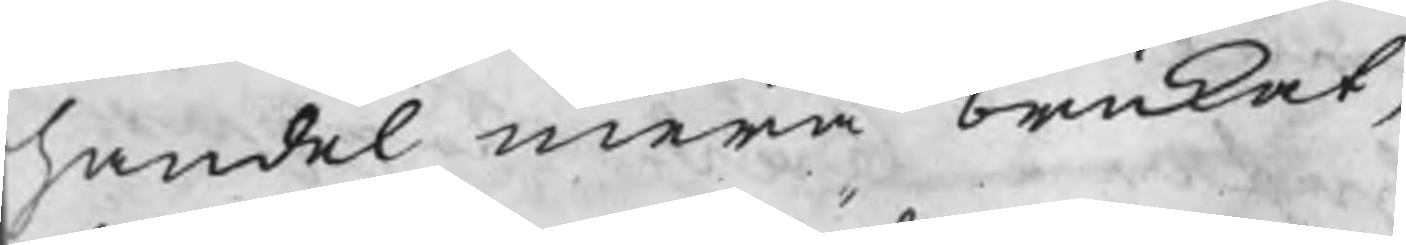handel mera brukat,
